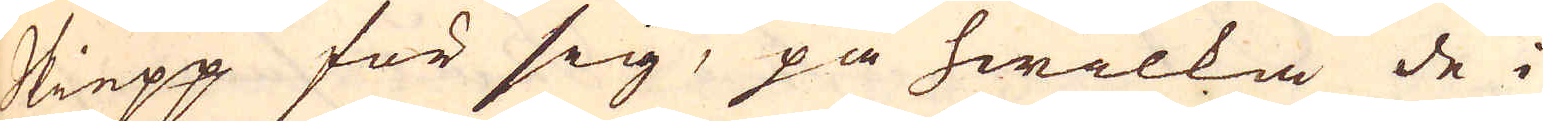Skiepp för sig, på hwilka de i
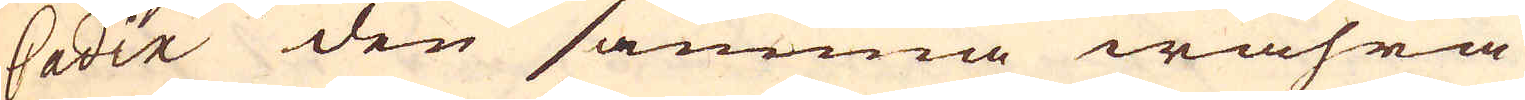Cadix den samma wahra
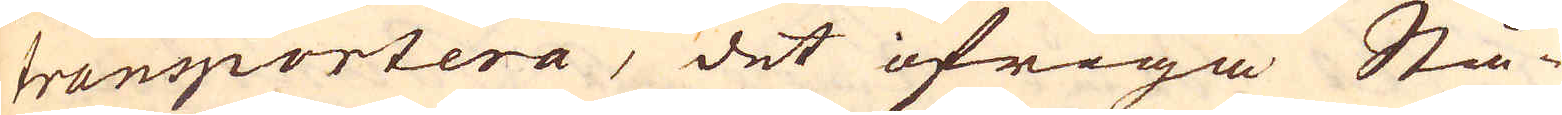transportera, det öfriga Stå-
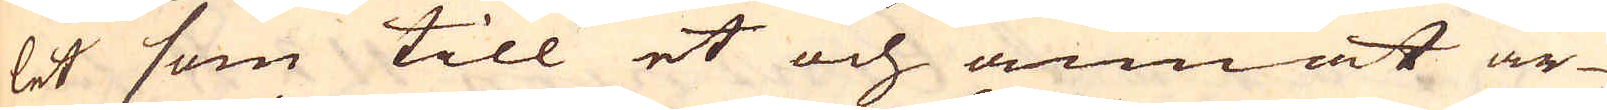let som till et och annat ar-
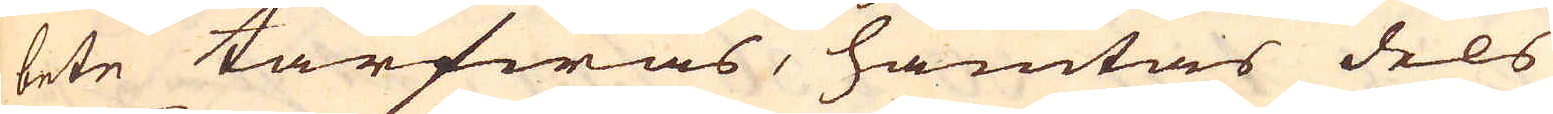bete tarfwas, hämtas dels
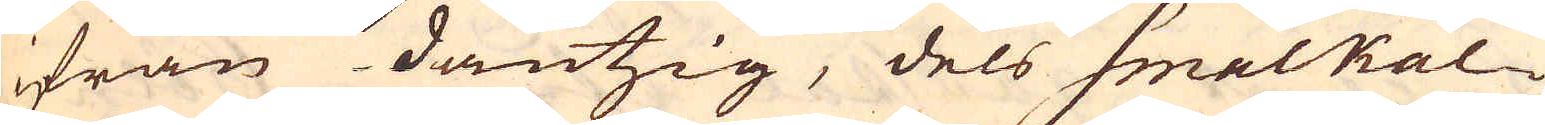ifrån Dantzig, dels Smalkal-
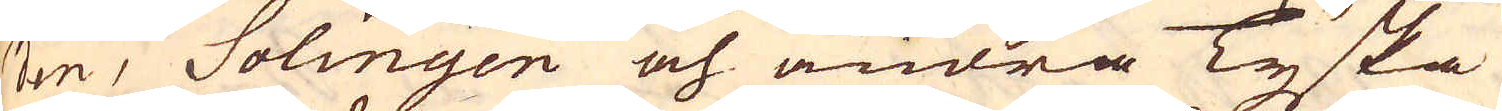den, Solingen och andra Tyska
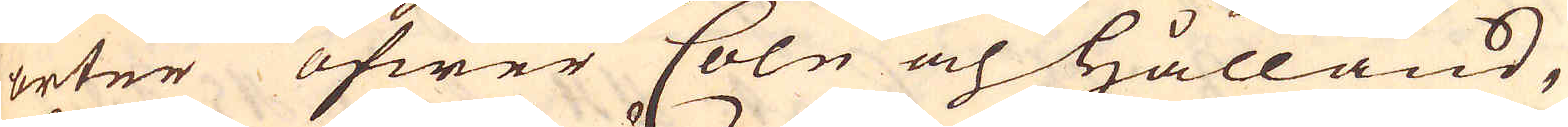orter öfwer Coln och Hålland,
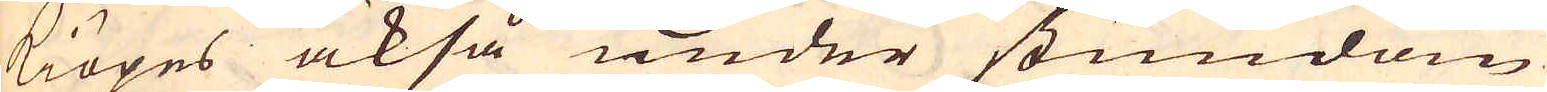kiöpes också under stundom
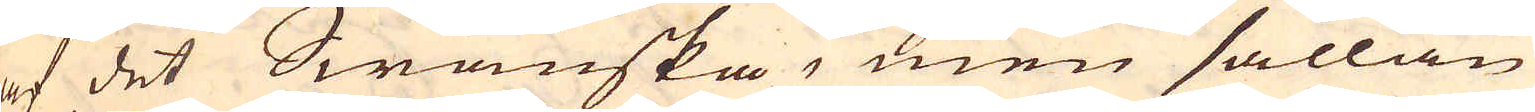af det Swänska, men sällan
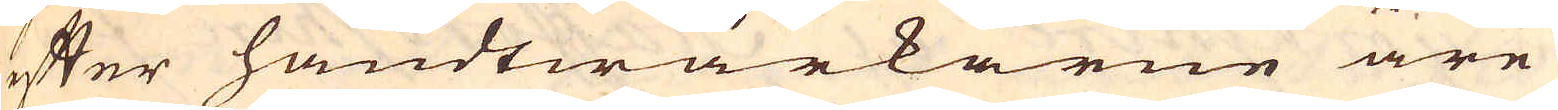efter handtwärkarne äre
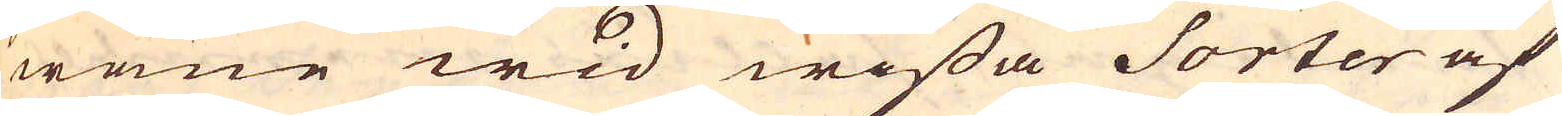wane wid wissa Sorter af
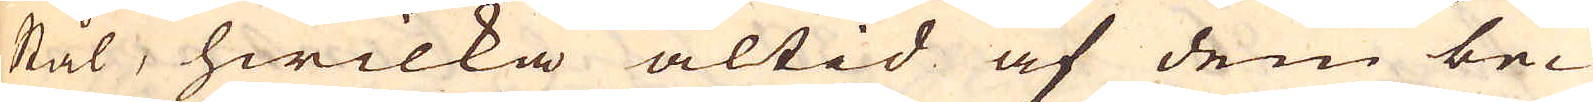Stål, hwilka altid af dem be-
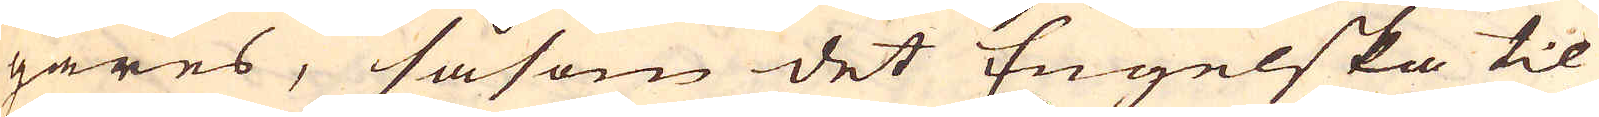gäres, såsom det Engelska til
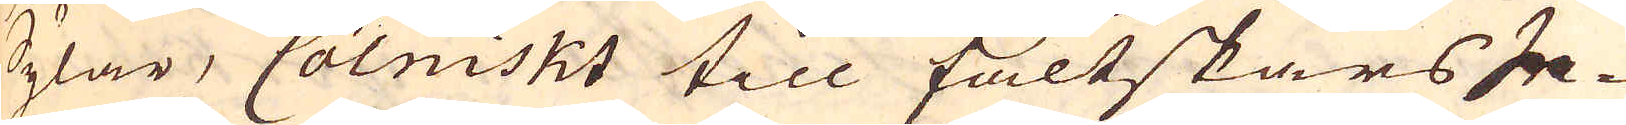Sylar, Cölniskt till fältskärs In-
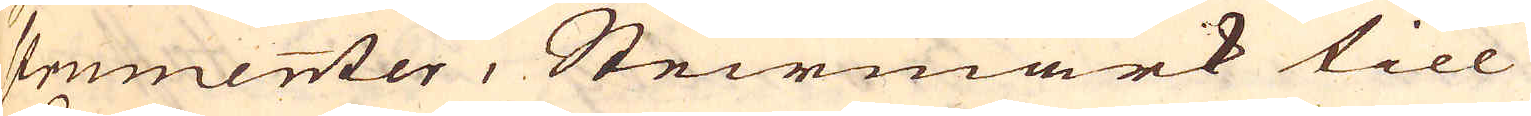strumenter, Steirmark till
